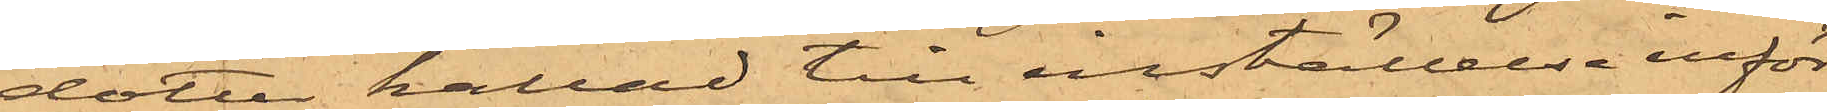dotter kallad till inställelse inför
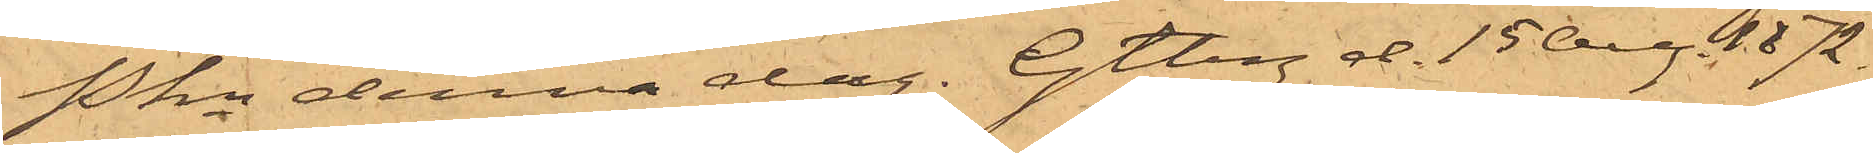Pkn denna dag. Gtbg d. 15 Aug. 1872.
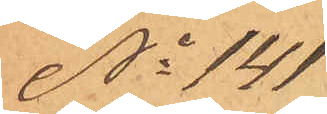No 141
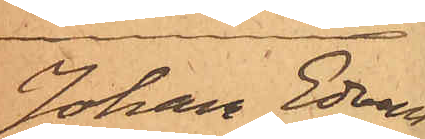Johan Edvard
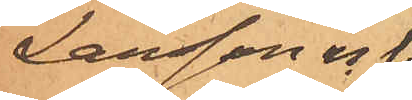Larsson m.fl.
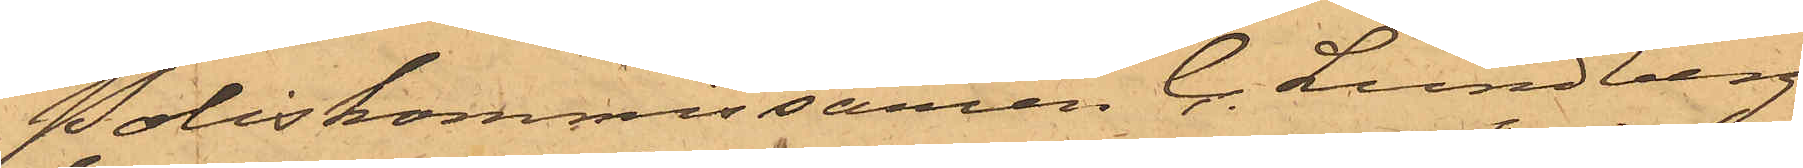Poliskommissamen C. Lundberg
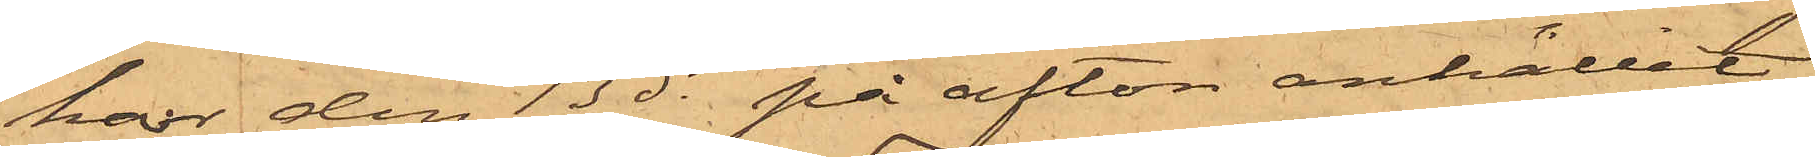har den 13 ds på afton anhållit
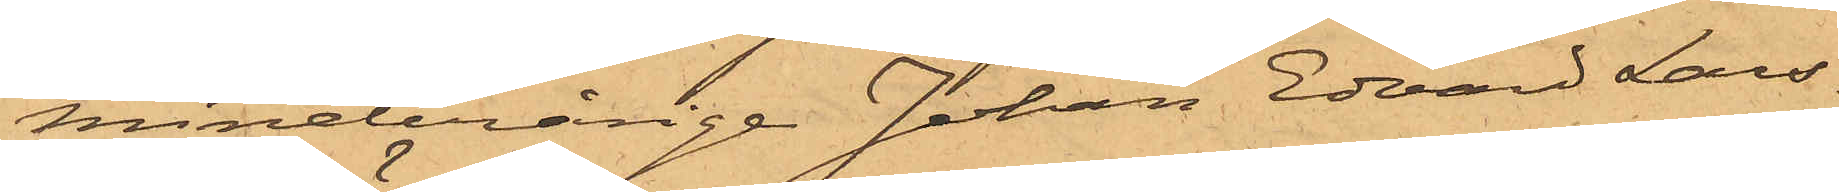minderårige Johan Edvard Lars¬
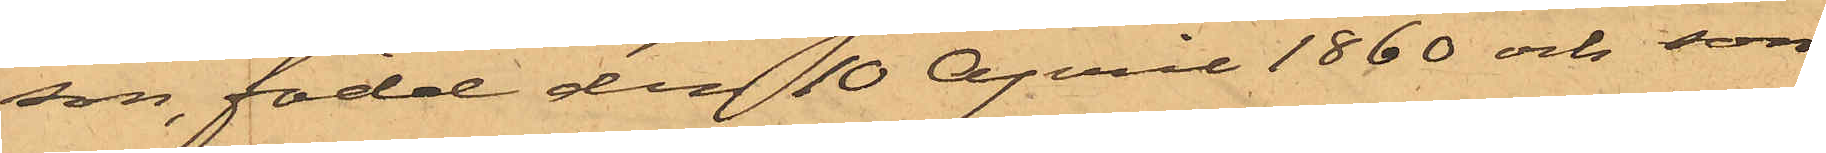son, född den 10 April 1860 och son
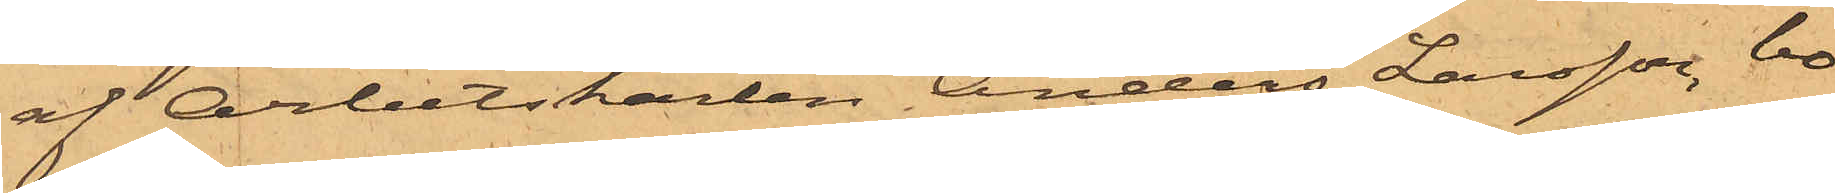af Arbetskarlen Anders Larsson, bo¬
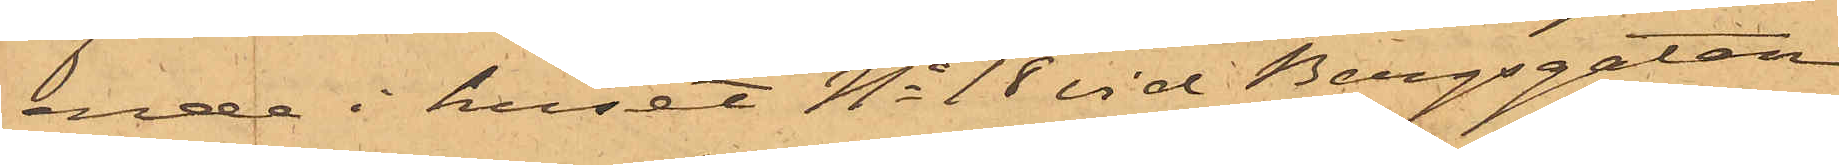ende i huset No 18 vid Bergsgatan,
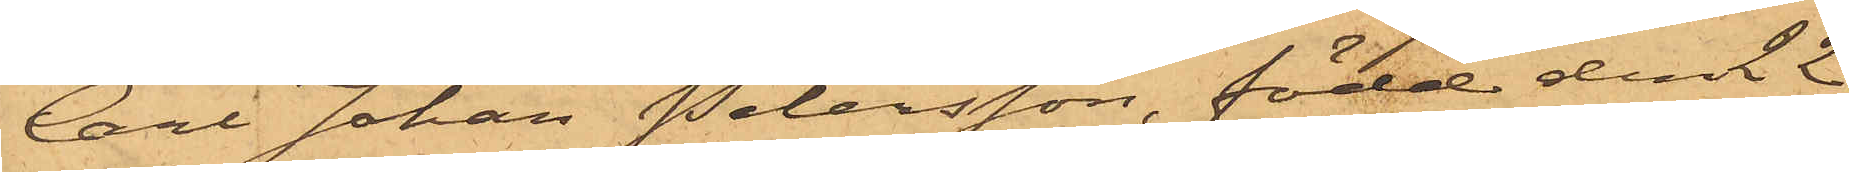Carl Johan Petersson, född den 22
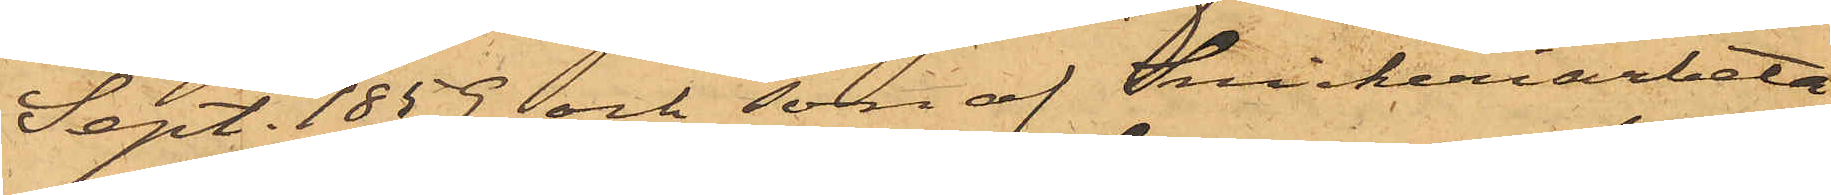Sept. 1859 och son af Snickeriarbeta¬
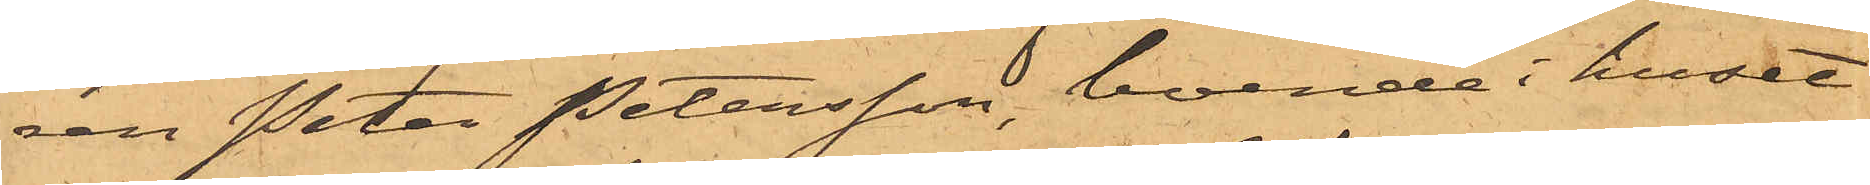ren Peter Petersson, boende i huset
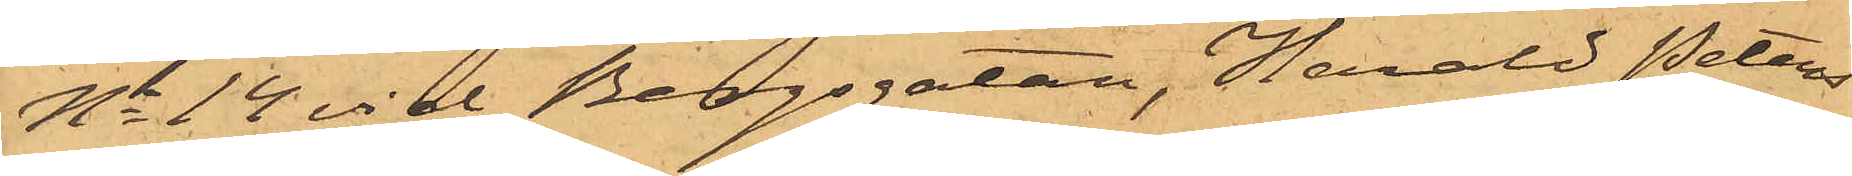No 14 vid Bergsgatan, Harald Peters¬
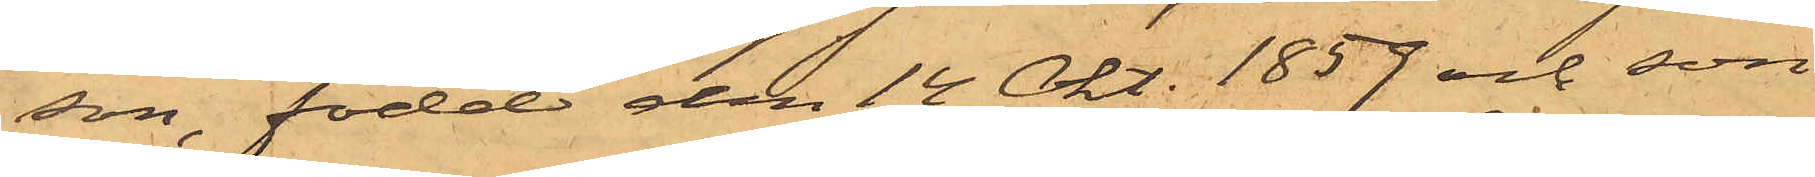son, född den 14 Okt. 1859 och son
